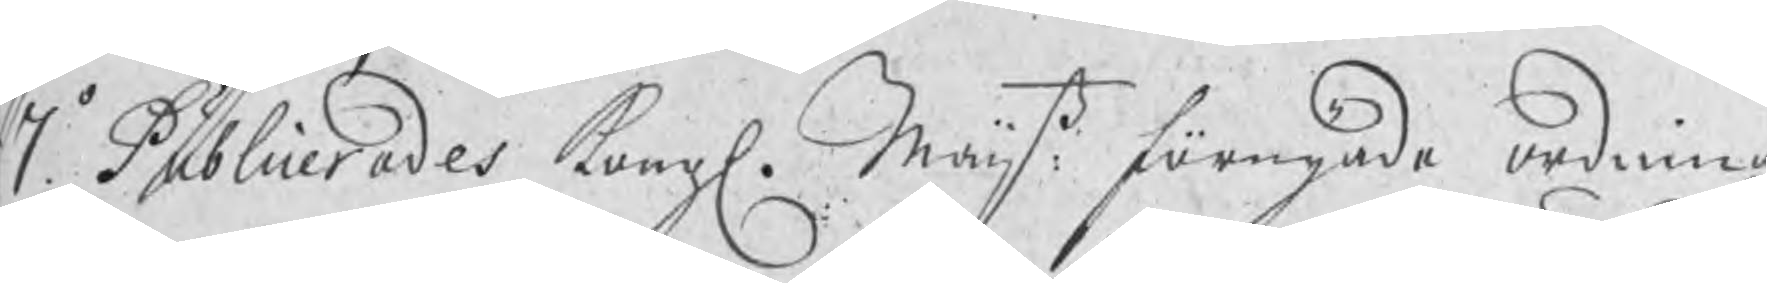7o. Publicerades Kongl. Maijtz: förnyade ordning,
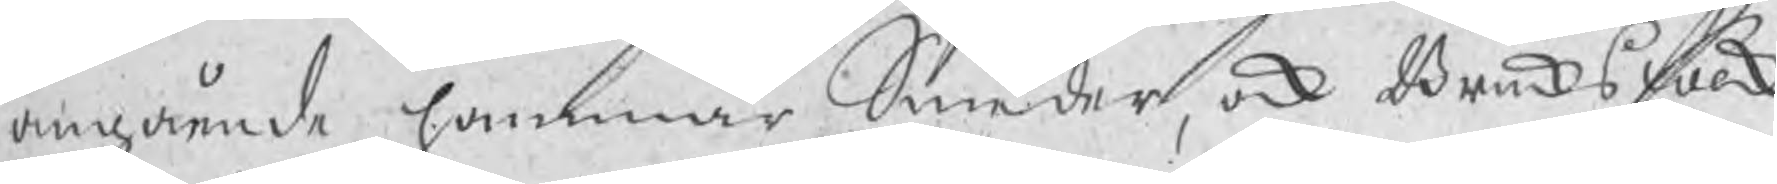angående hammar Smeder, ock Bruksfolk
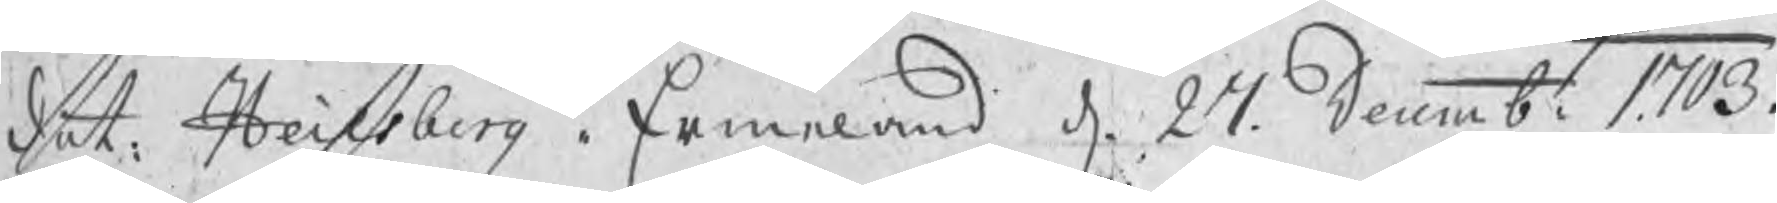dat. Heilsberg i Ermeland d. 27 Decemb: 1703.
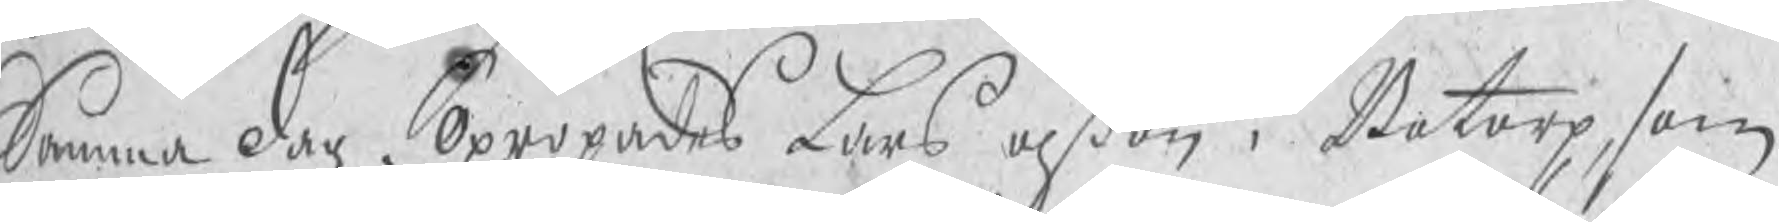Samma dag. Opropades Lars Olßon i Botorp, som
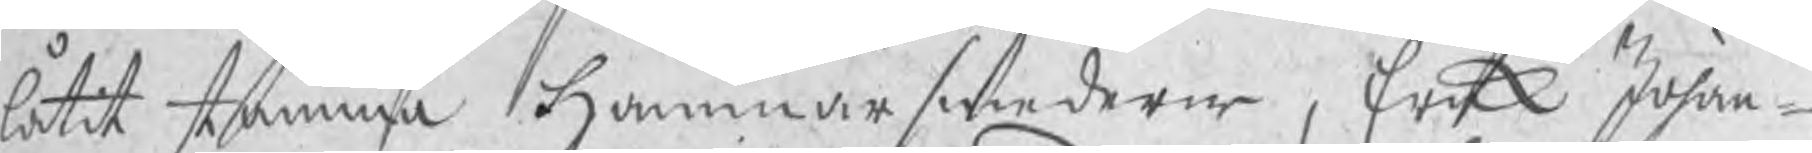låtit stämma Hammarsmederne, Erik Johan¬
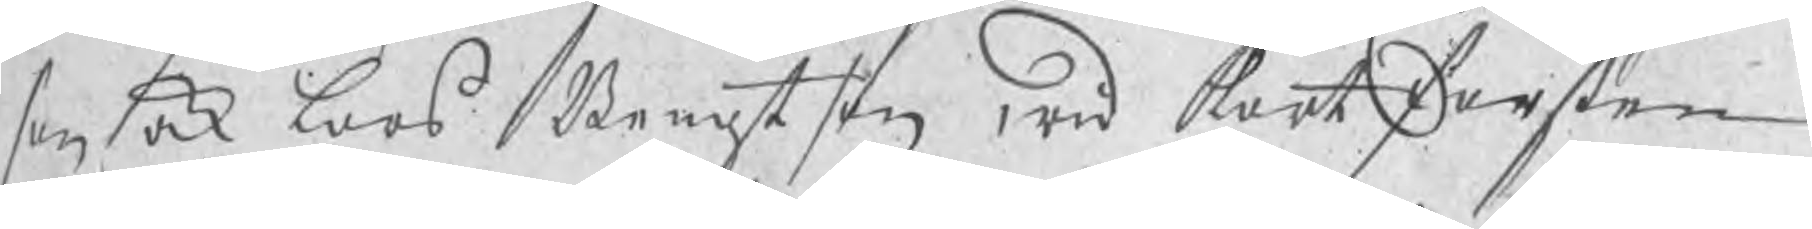son ock Lars Bengtson wid Kortforsen
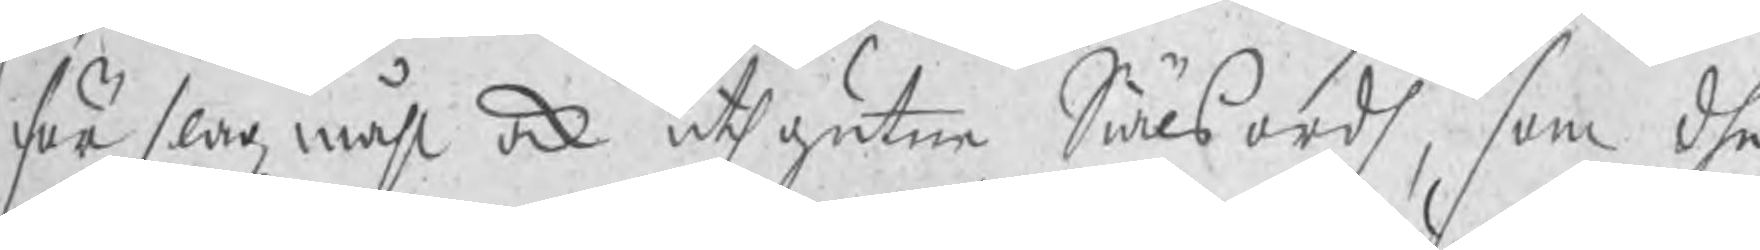för slagzmåhl ock uthgutne Siälsordh, som dhe
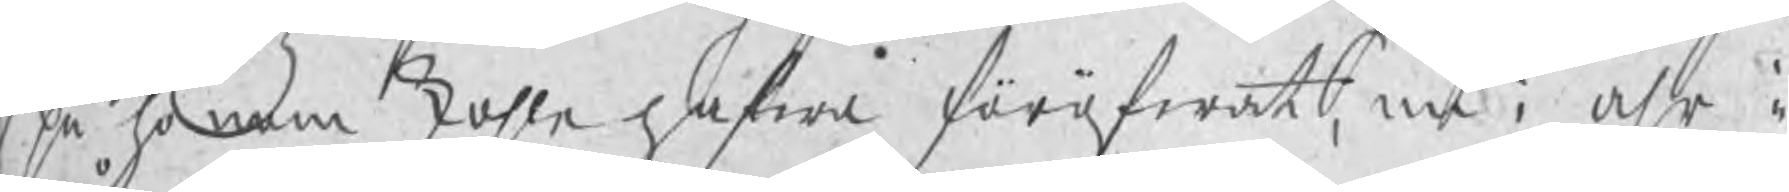på honom skohle hafwa föröfwat, nu i åhr i
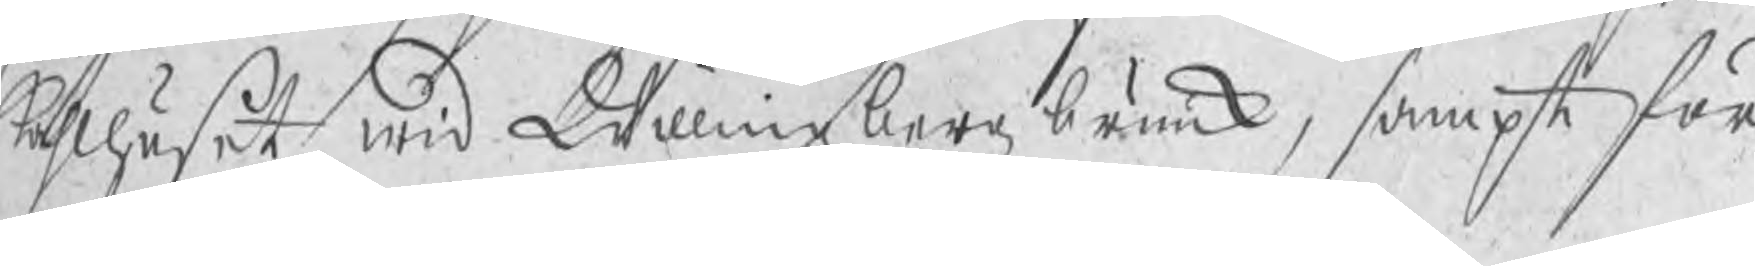kåhlhuset, wid Willingzbergz bruuk, sampt för
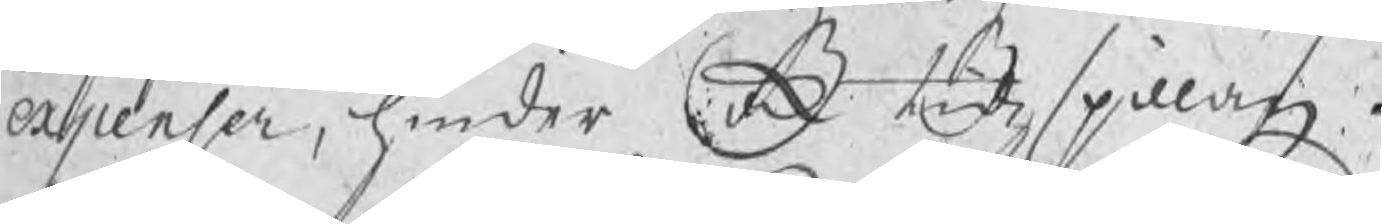expenser, hinder ock tidzspillan.
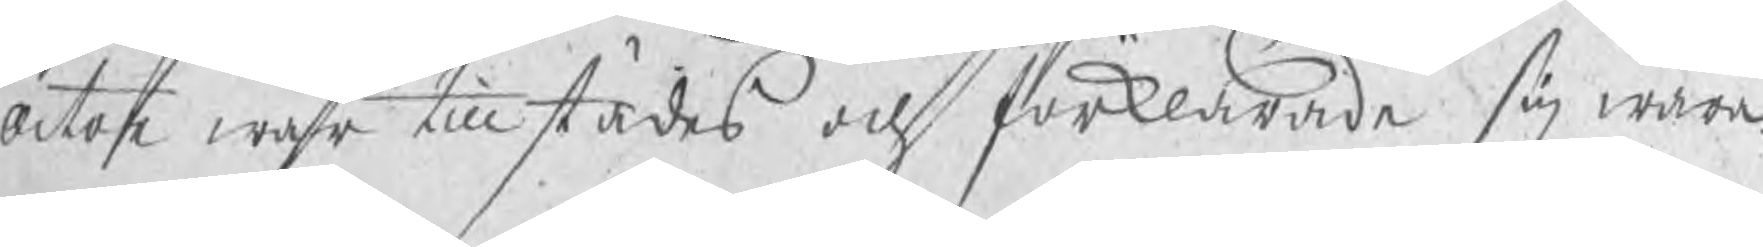Actor war tillstädes och förklarade sig wara
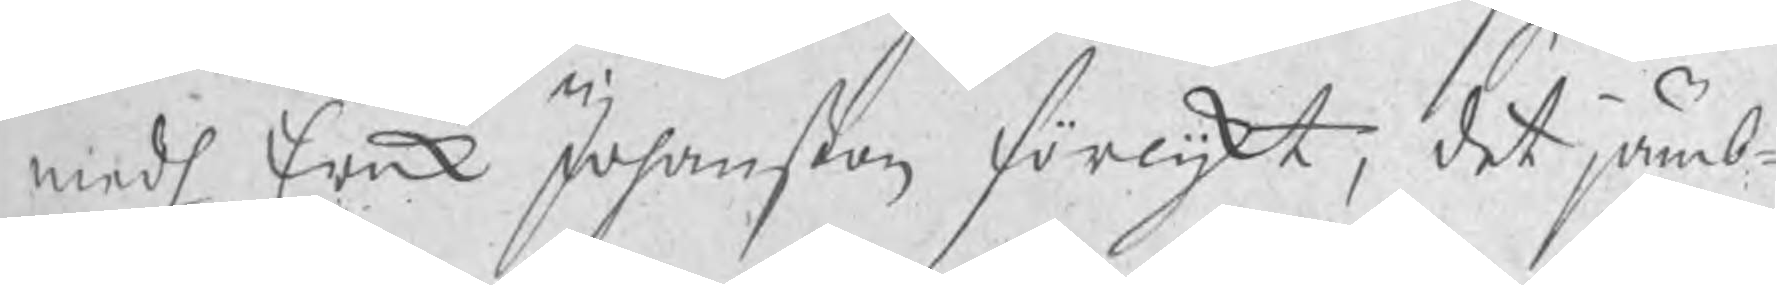medh Erik Johanßon förlijkt, det jämb¬
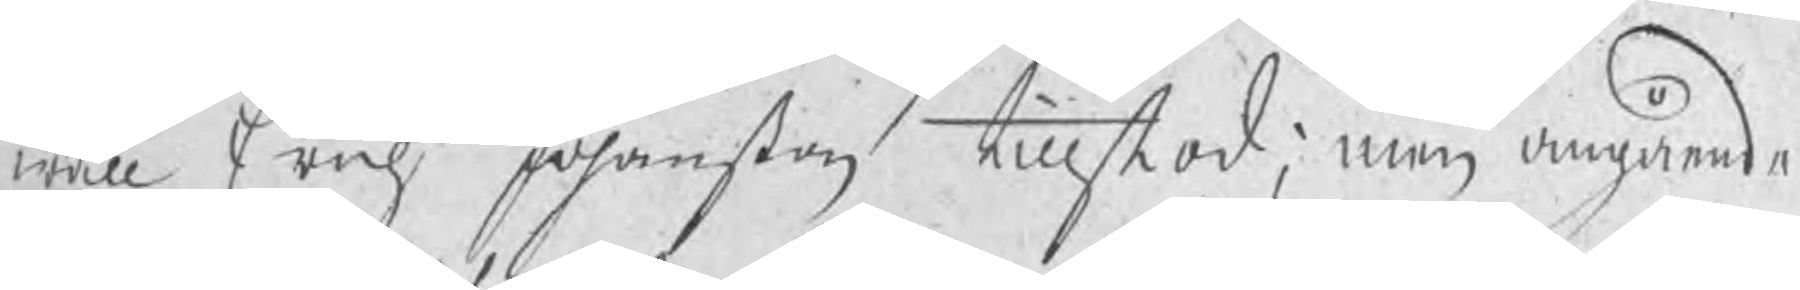wäll Erich Johanßon tillstod; men angående
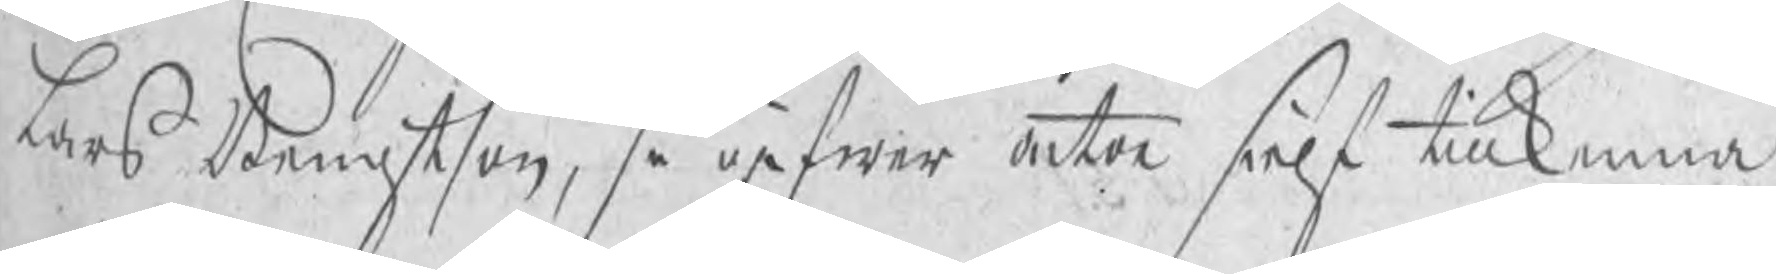Lars Bengtson, så gifwer actor sielf tillkenna
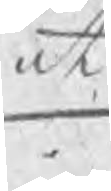at
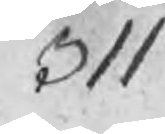311
